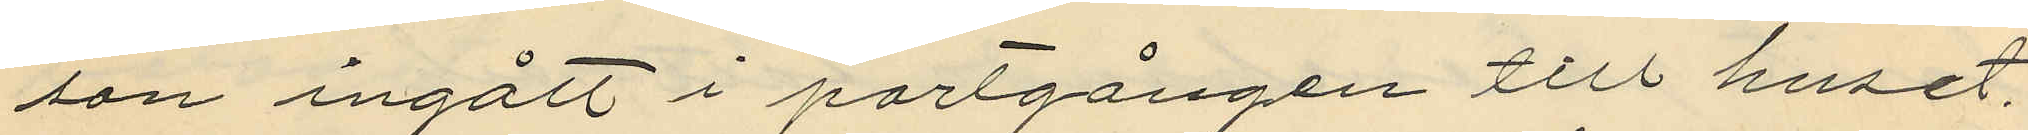son ingått i portgången till huset
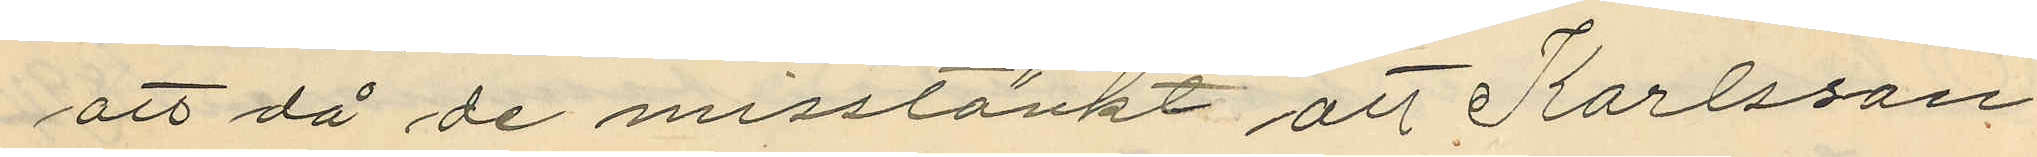att då de misstänkt att Karlsson
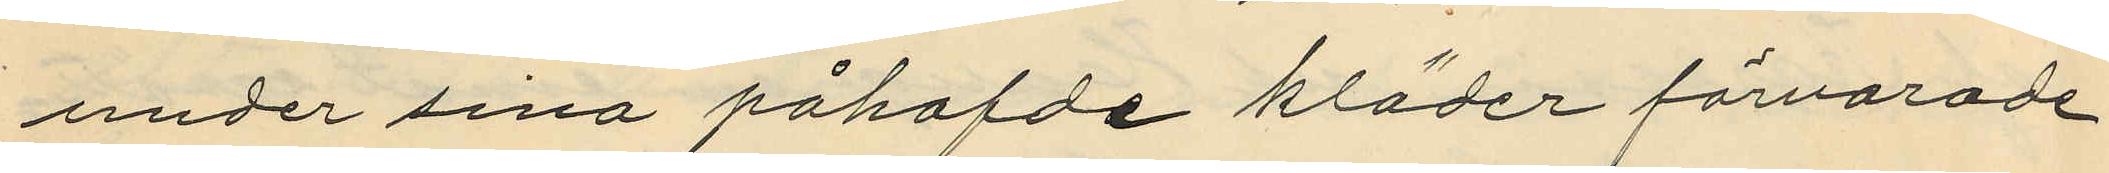under sina påhafde kläder förvarade
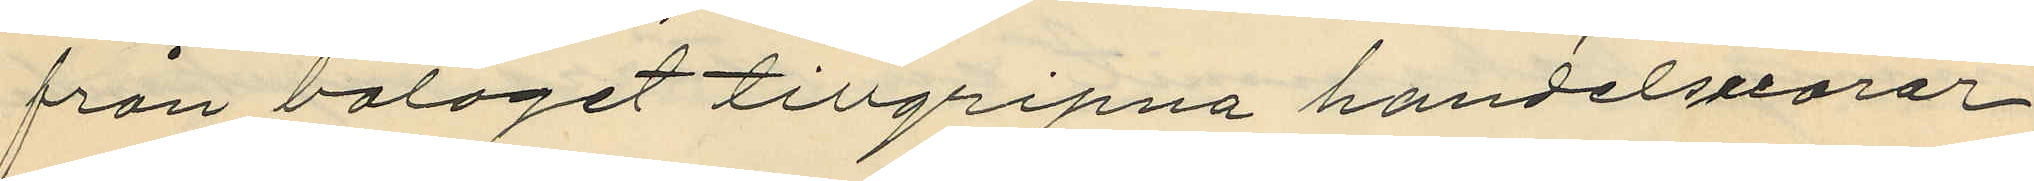från bolaget tillgripna handelsvaror
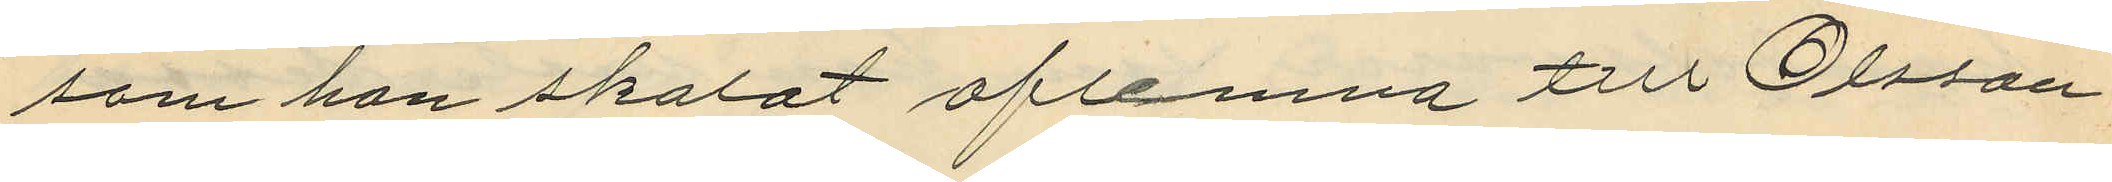som han skolat aflemna till Olsson
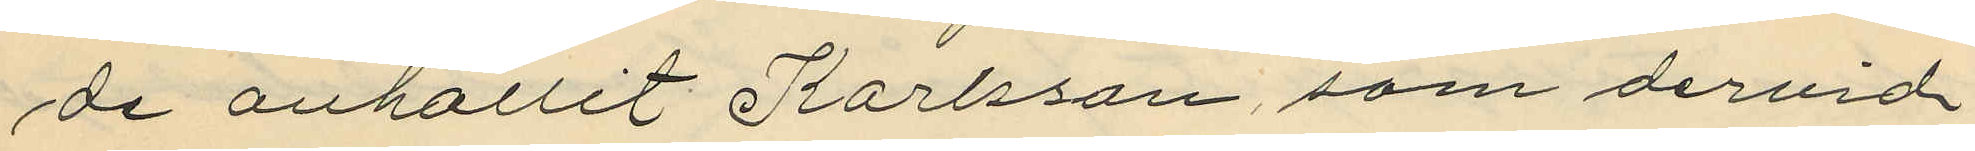de anhållit Karlsson, som dervid
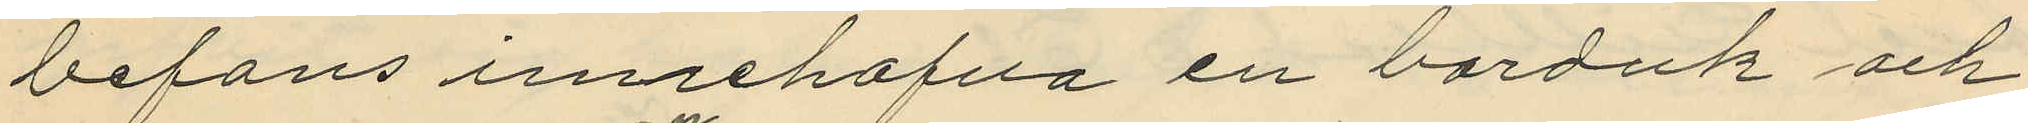befans innehafva en borduk och
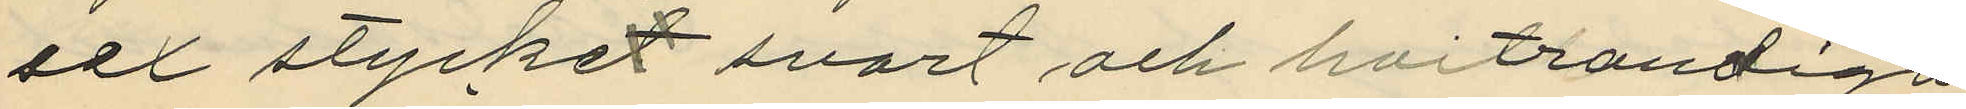sex stycket svart och hvitrandiga
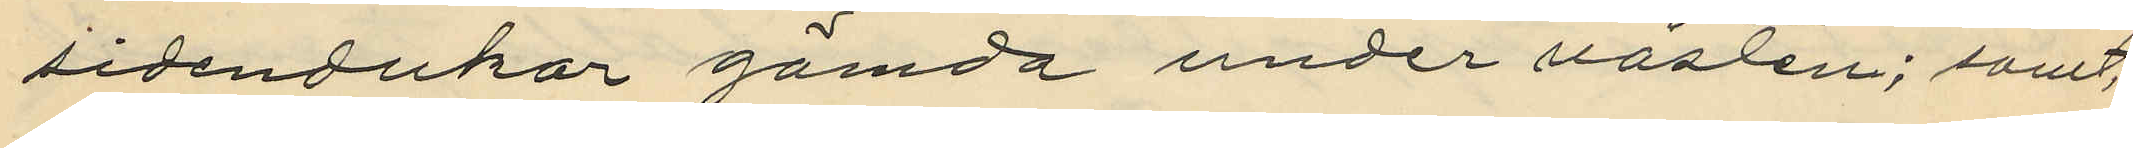sidendukar gömda under västen; samt
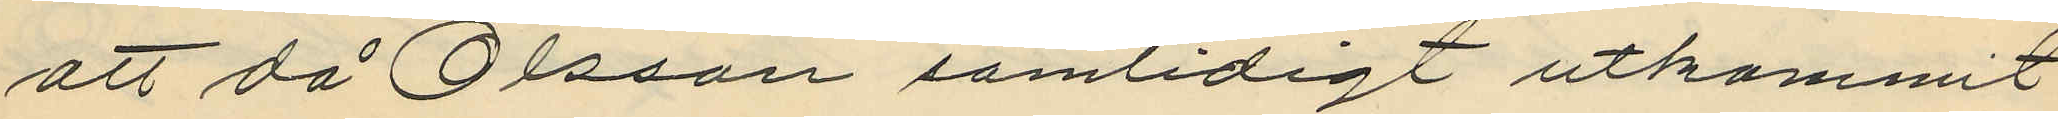att då Olsson samtidigt utkommit
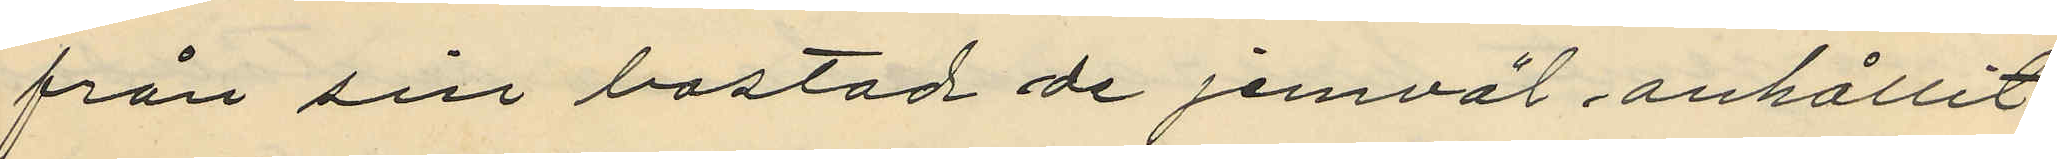från sin bostad de jemväl anhållit
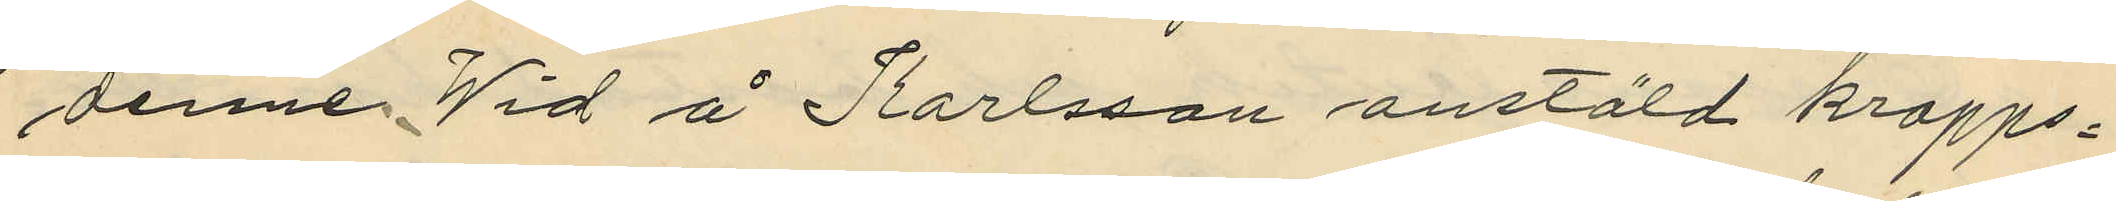denne. Wid å Karlsson anstäld kropps¬
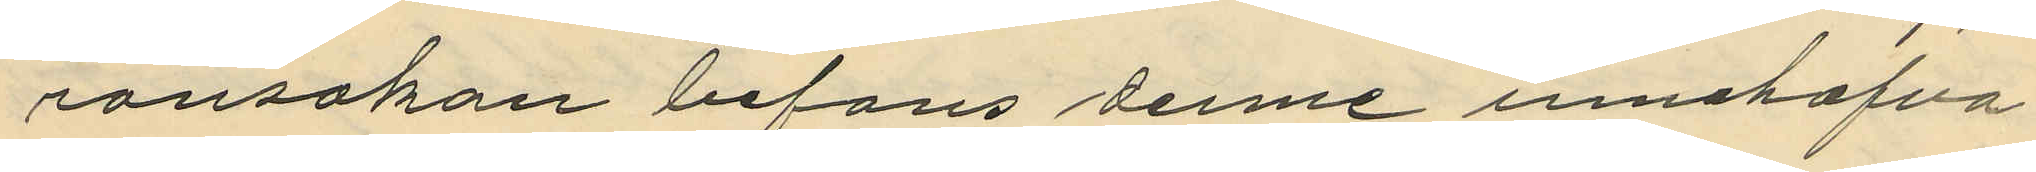ransakan befans denne innehafva
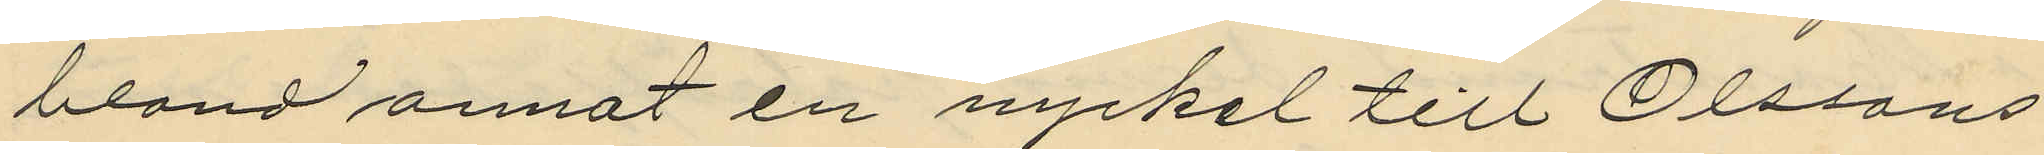bland annat en nyckel till Olssons
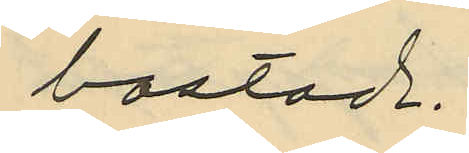bostad.
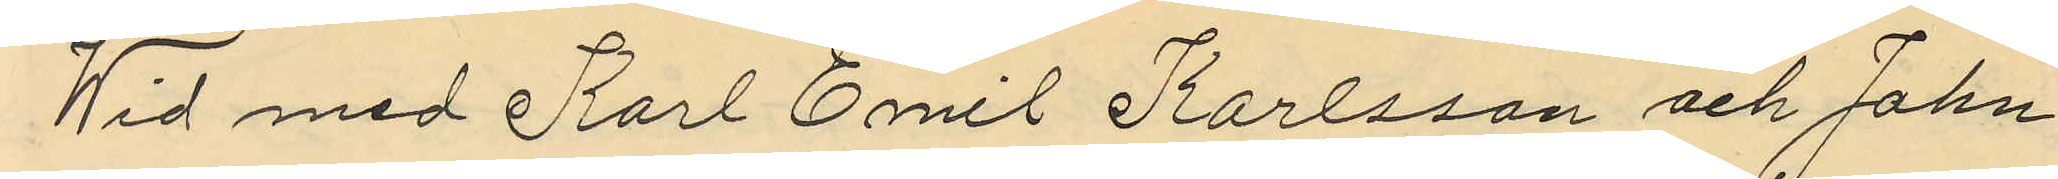Wid med Karl Emil Karlsson och John
